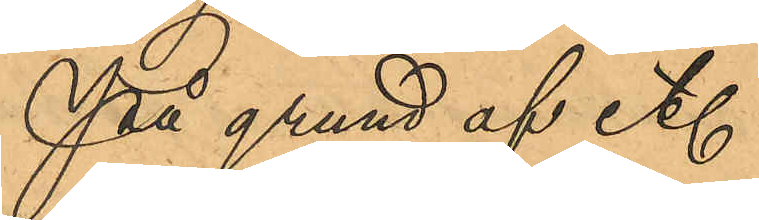På grund af et.
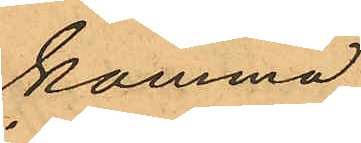komma
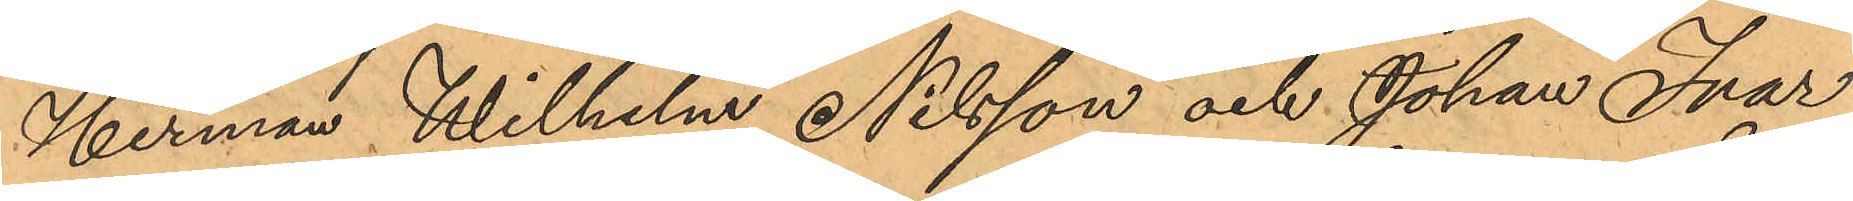Herman Wilhelm Nilsson och Johan Ivar
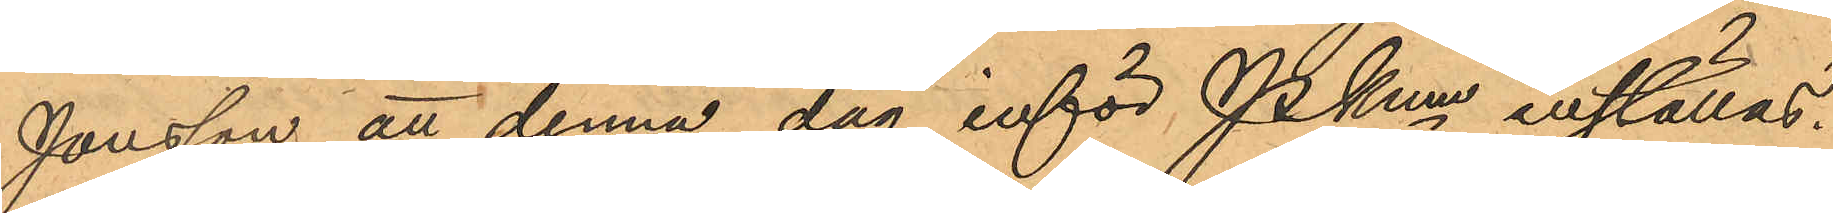Jonsson att denna dag inför Pkmn inställas.
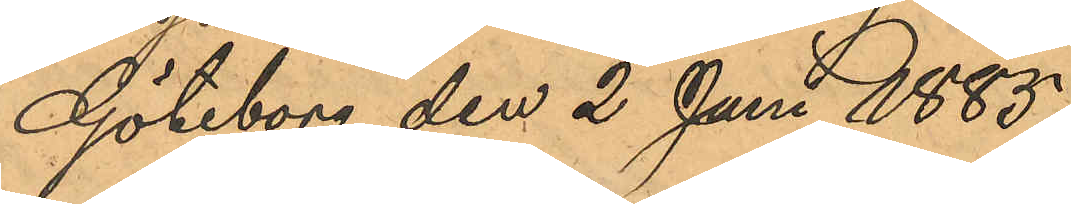Göteborg den 2 Juni 1885.
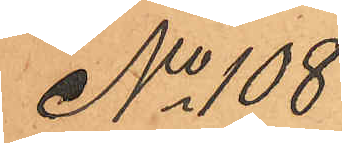No 108
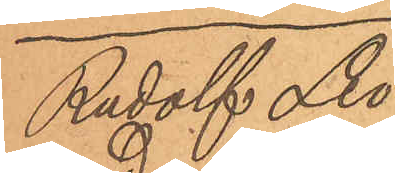Rudolf Leo¬
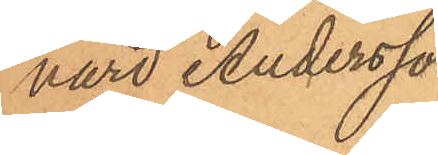nard Andersson
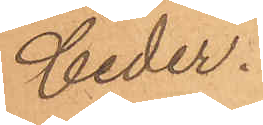Ceder.
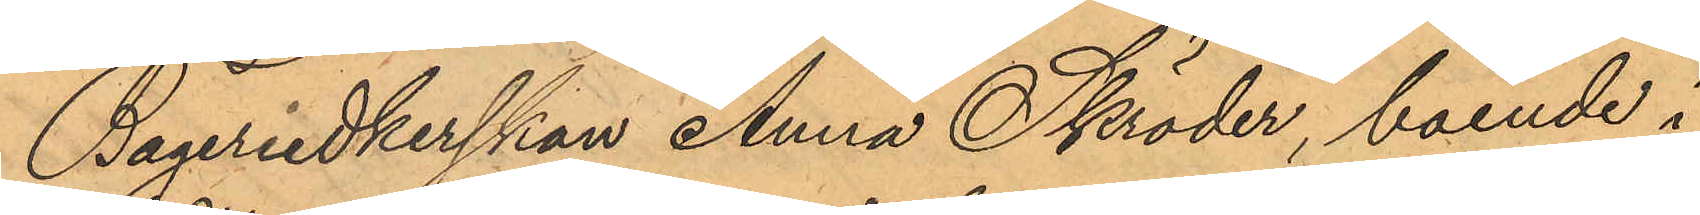Bageriedkerskan Anna Skröder, boende i
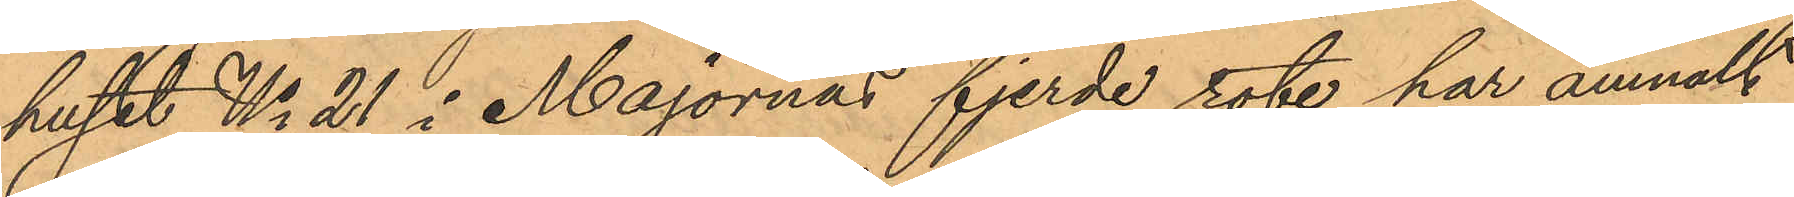huset No 21 i Majornas fjerde rote har anmält
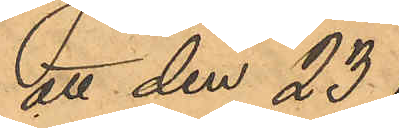att den 23
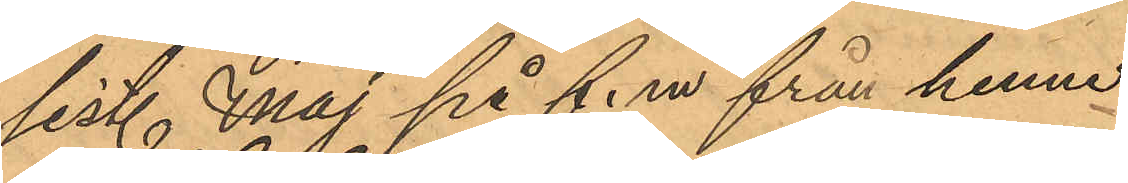sist. Maj på f.m från henne
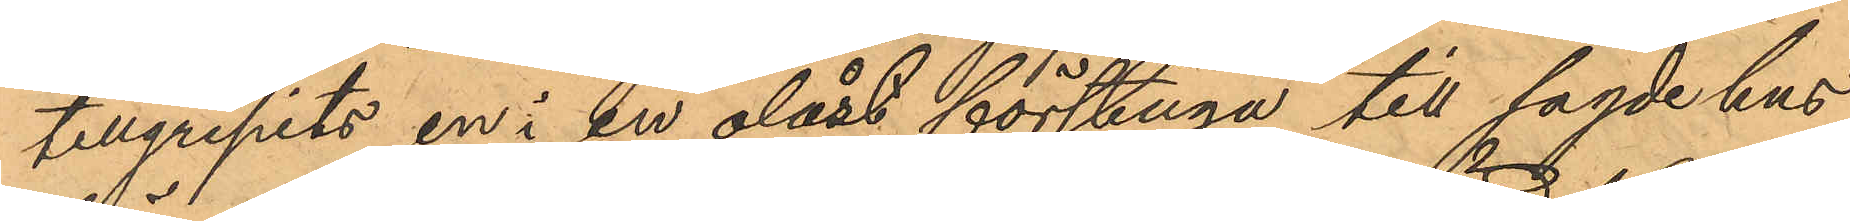tillgripits en i en olåst förstuga till sagde hus
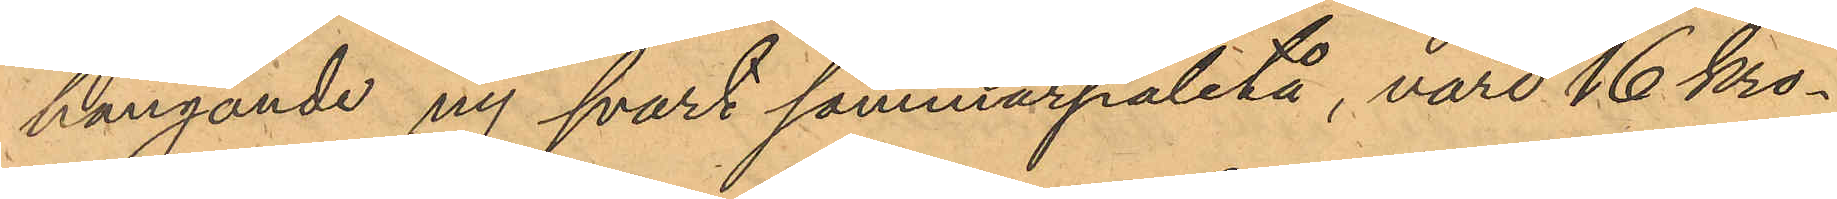hängande ny svart sommarpaletå, värd 16 kro¬
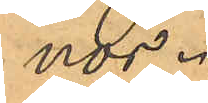nor.
